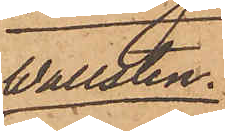Wallsten.
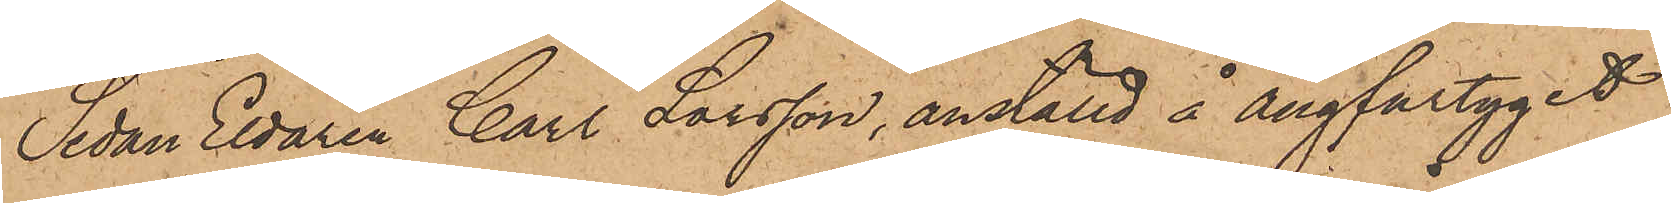Sedan Eldaren Carl Larsson, anställd å ångfartyget
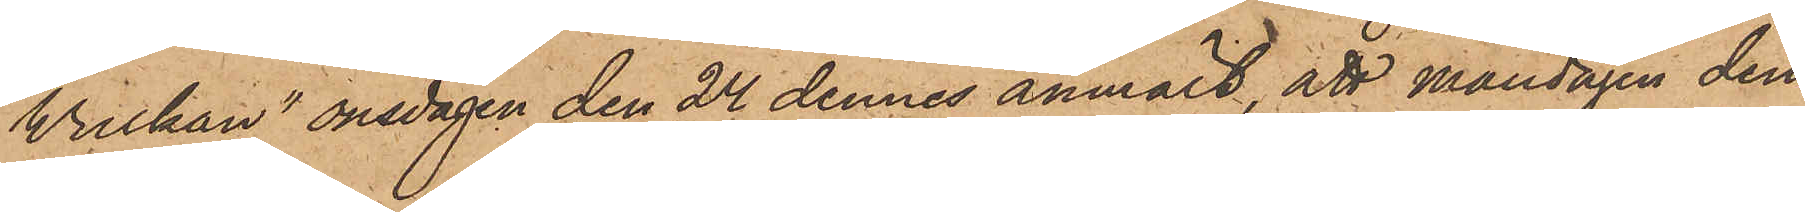"Wulkan" onsdagen den 24 dennes anmält, att måndagen den
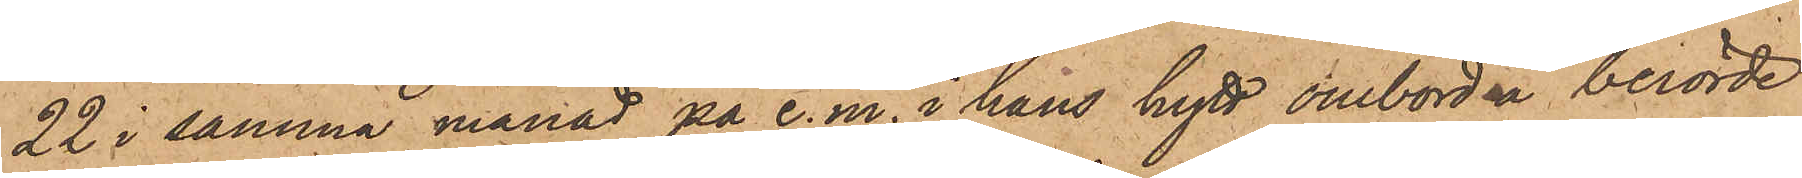22 i samma månad på e.m. i hans hytt ombord å berörde
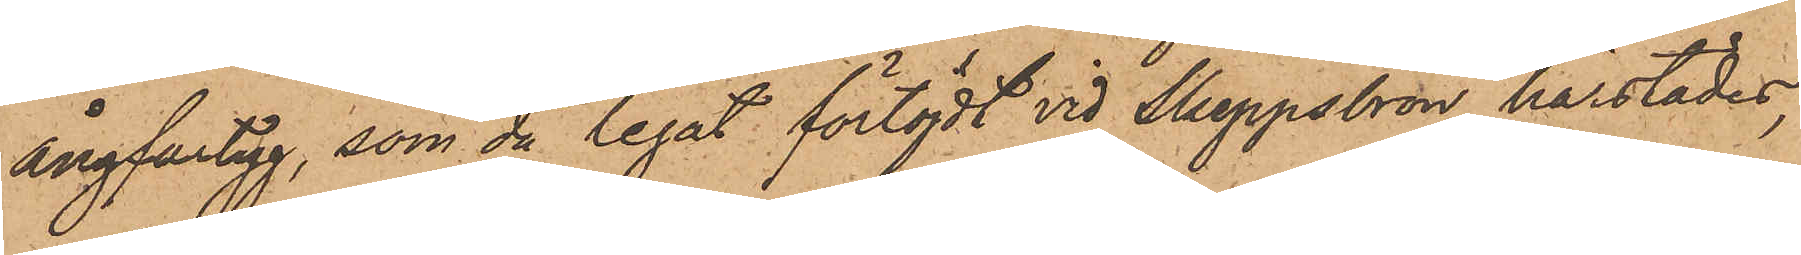ångfartyg, som då legat förtöjdt vid Skeppsbron härstädes,
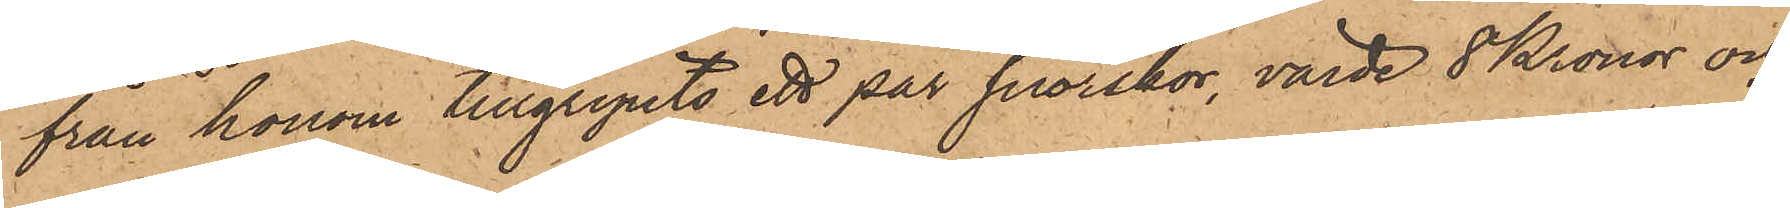från honom tillgripits ett par snörskor, värde 8 Kronor och
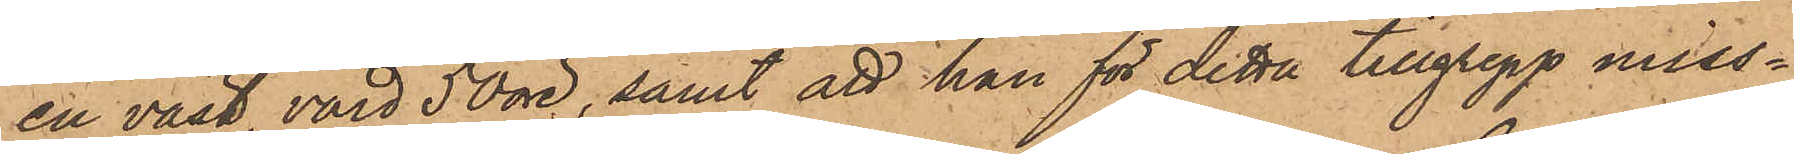en väst, värd 50 öre, samt att han för detta tillgrepp miss¬
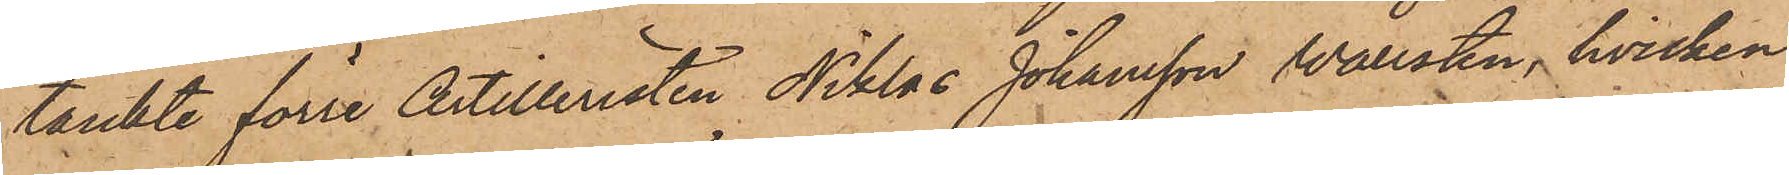tänkte förre Artilleristen Niklas Johansson Wallsten, hvilken
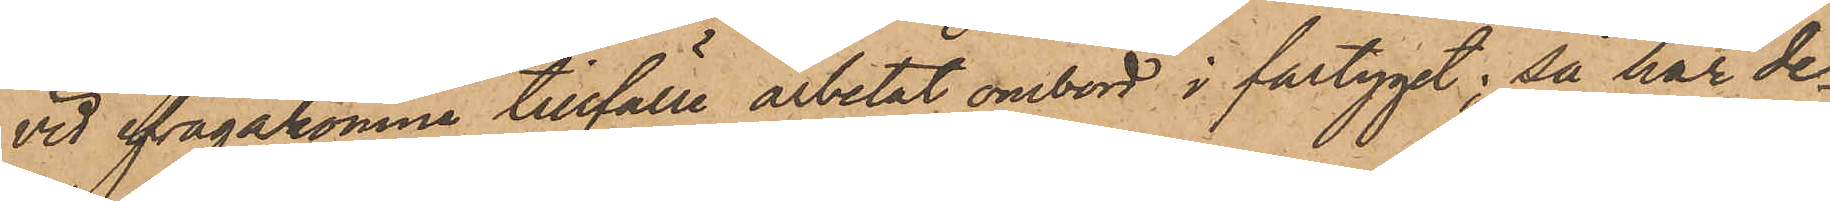vid ifrågakomne tillfälle arbetat ombord i fartyget; så har de¬
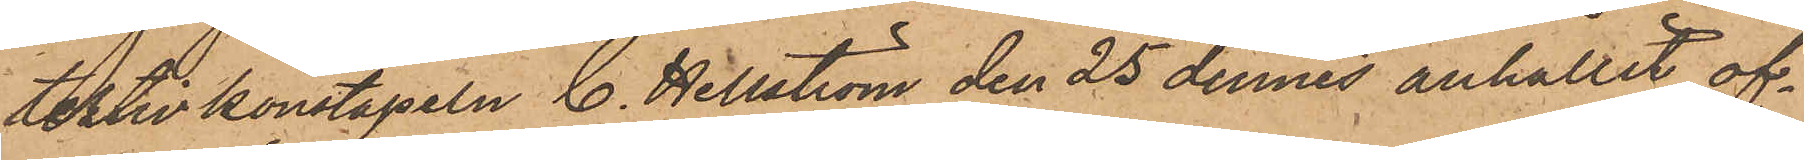tektivkonstapeln C. Hellström den 25 dennes anhållit of¬
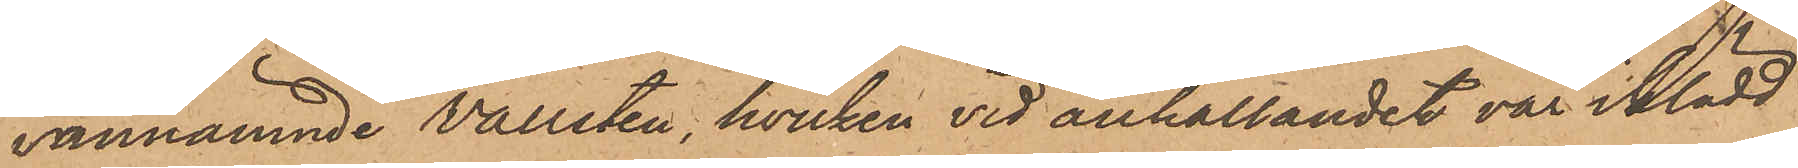vannämnde Wallsten, hvilken vid anhållandet var iklädd
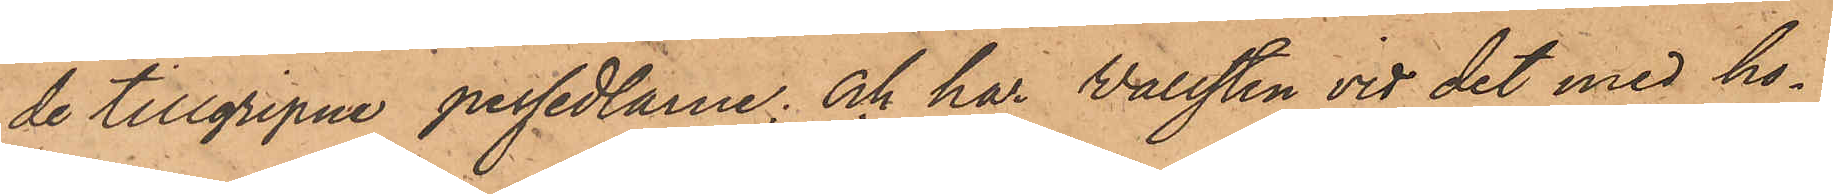de tillgripne persedlarne; och har Wallsten vid det med ho¬
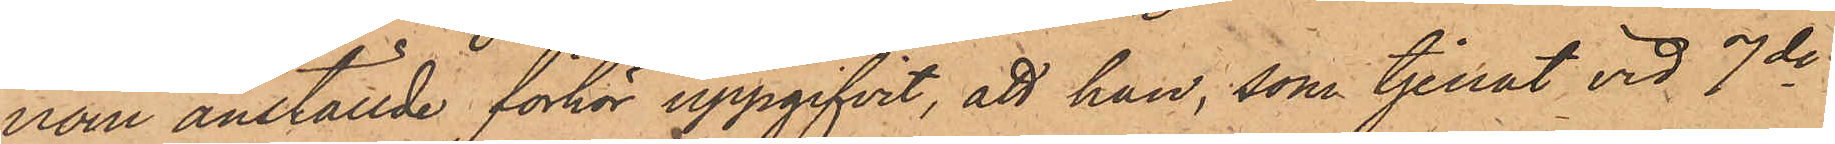nom anställde förhör uppgifvit, att han, som tjenat vid 7de
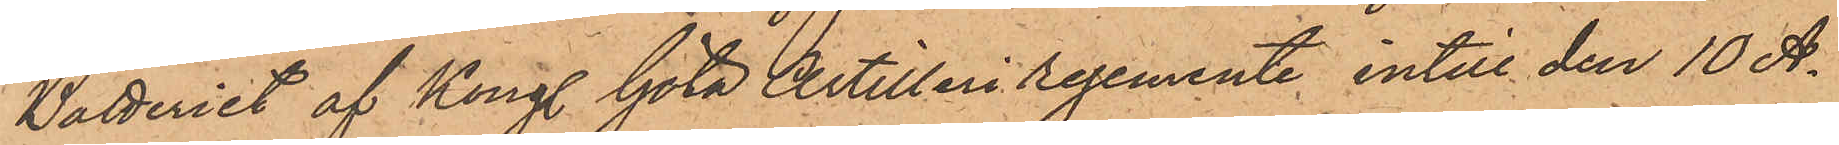Batteriet af Kongl. Göta Artilleri regemente intill den 10 A¬
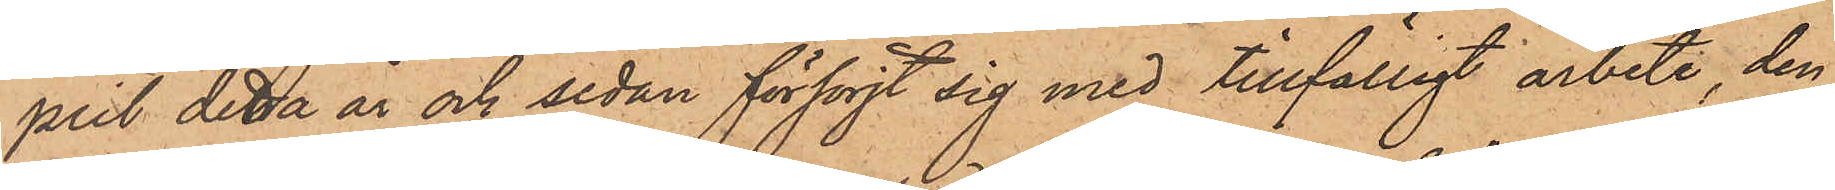pril detta år och sedan försörjt sig med tillfälligt arbete, den
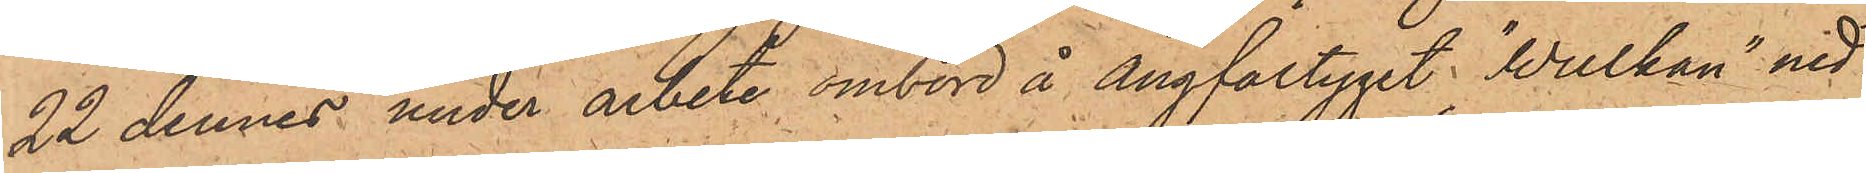22 dennes under arbete ombord å Ångfartyget "Wulkan" ned¬
